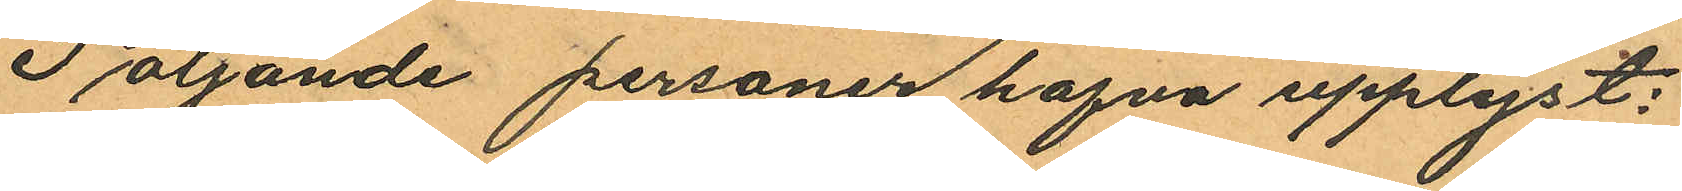Följande personer hafva upplyst:
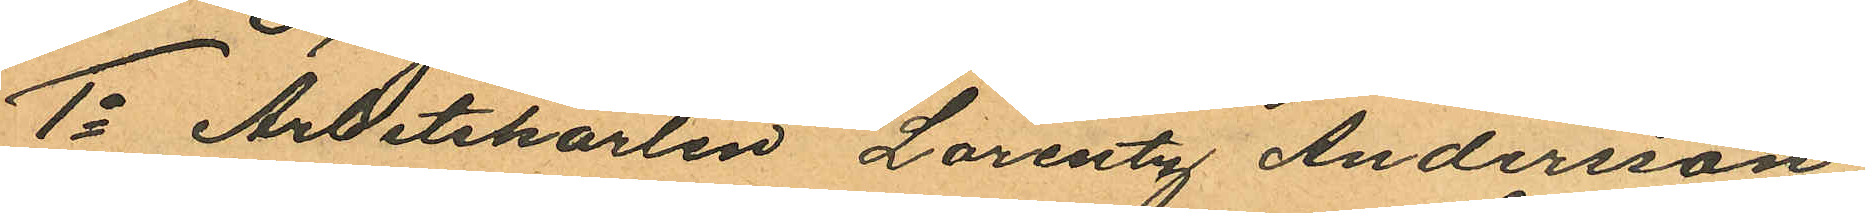1o Arbetskarlen Lorentz Andersson
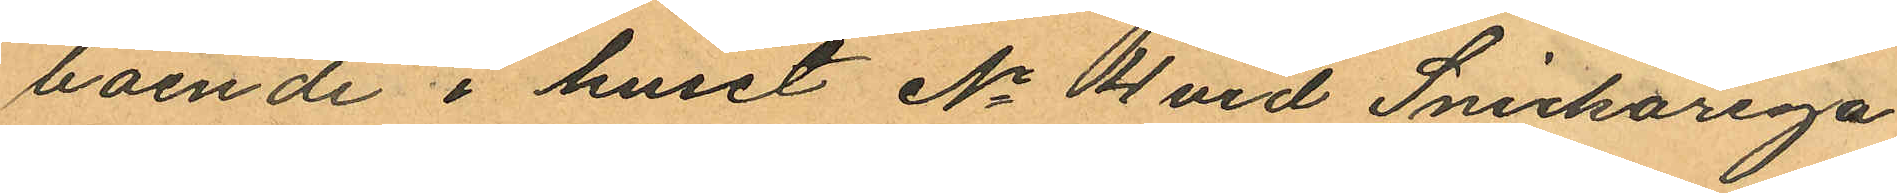boende i huset No 4 vid Snickarega
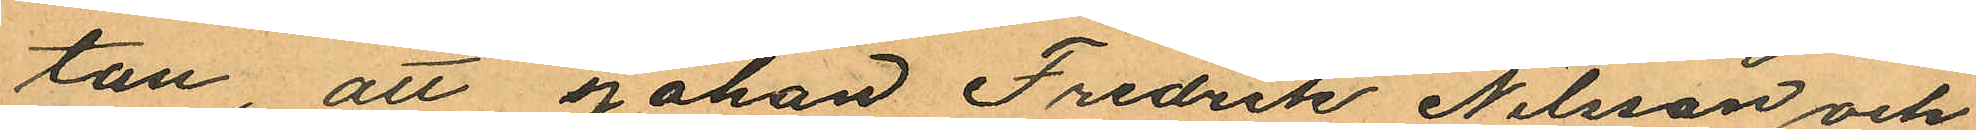tan, att Johan Fredrik Nilsson och
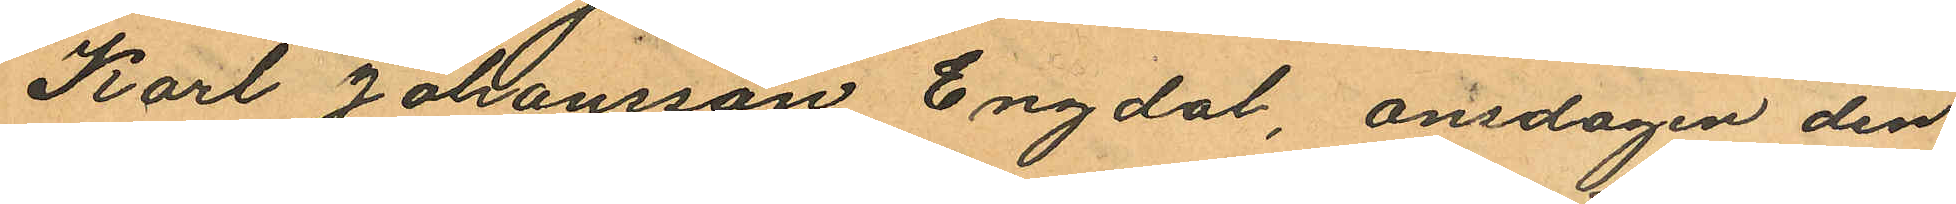Karl Johansson Engdal, onsdagen den
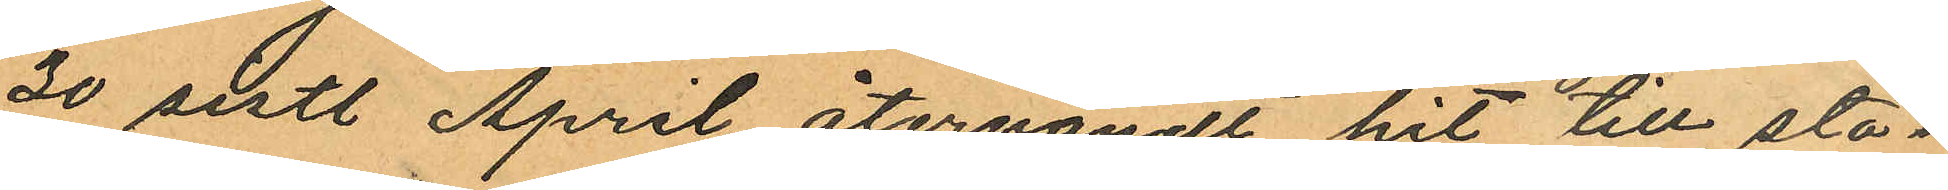30 sistl. April återvändt hit till sta¬
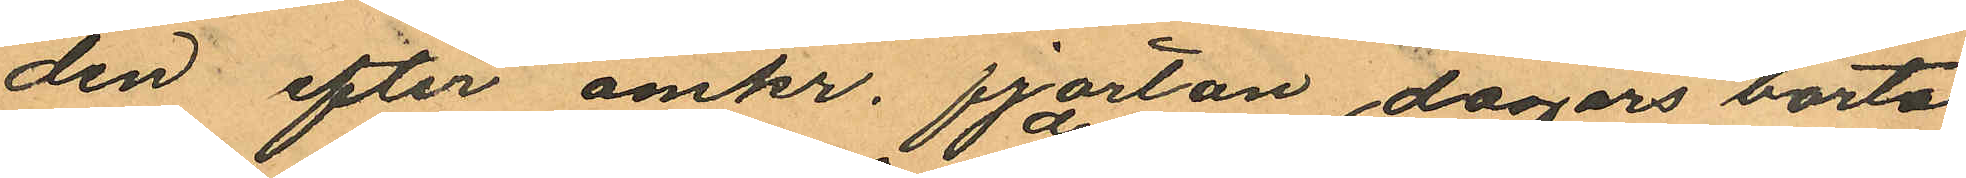den efter omkr. fjorton dagars borta
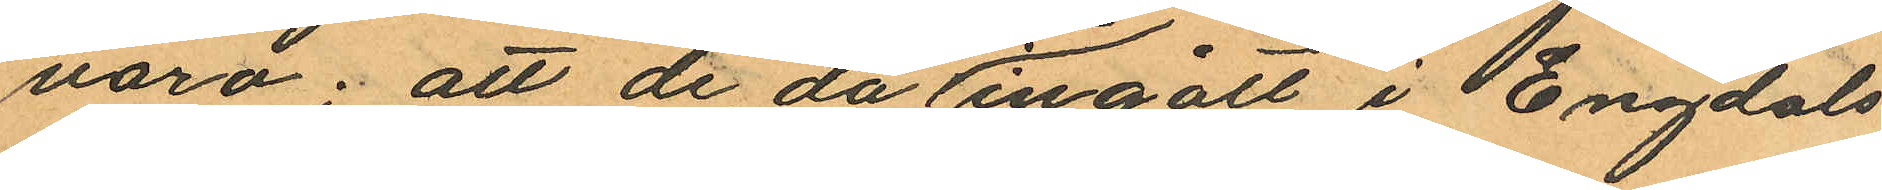varo; att de då de ingått i Engdals
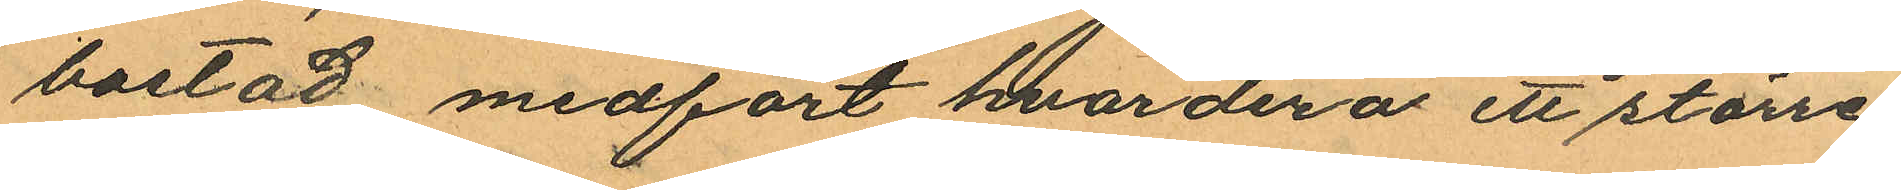bostad medfört hvardera ett större
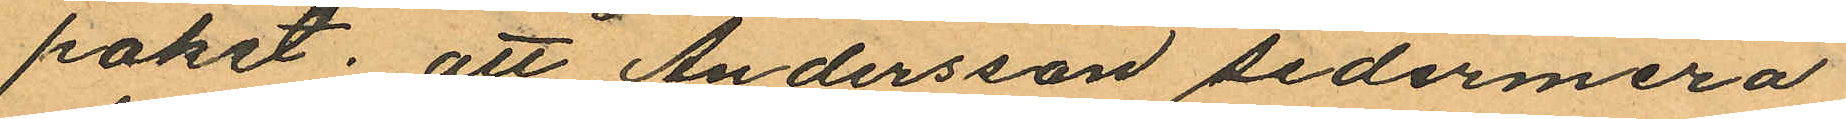paket; att Andersson sedermera
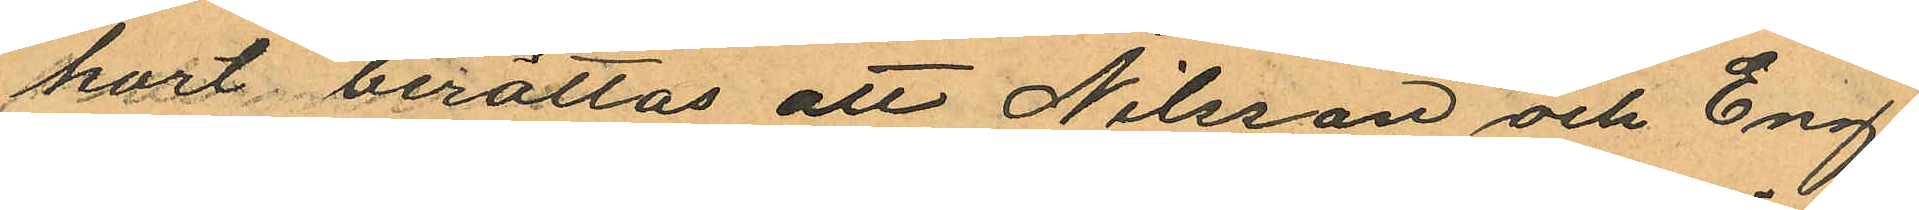kort berättas att Nilsson och Eng¬
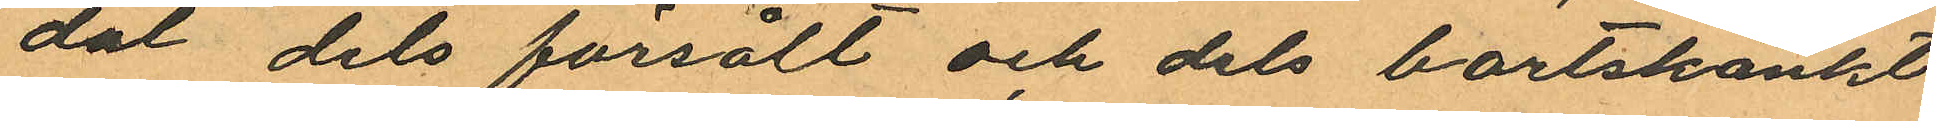dal dels försålt och dels bortskänkt
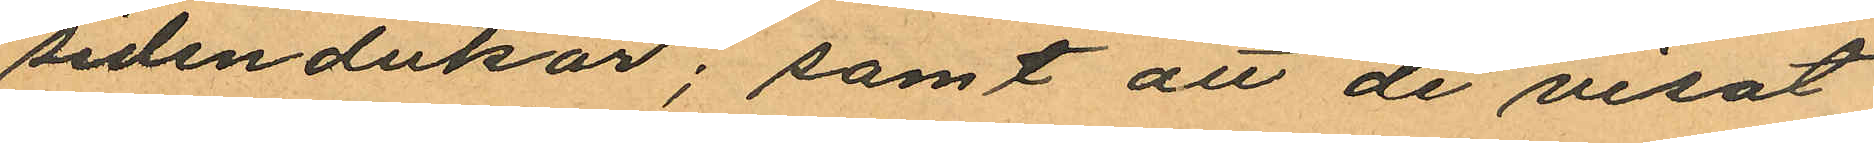sidendukar; samt att de visat
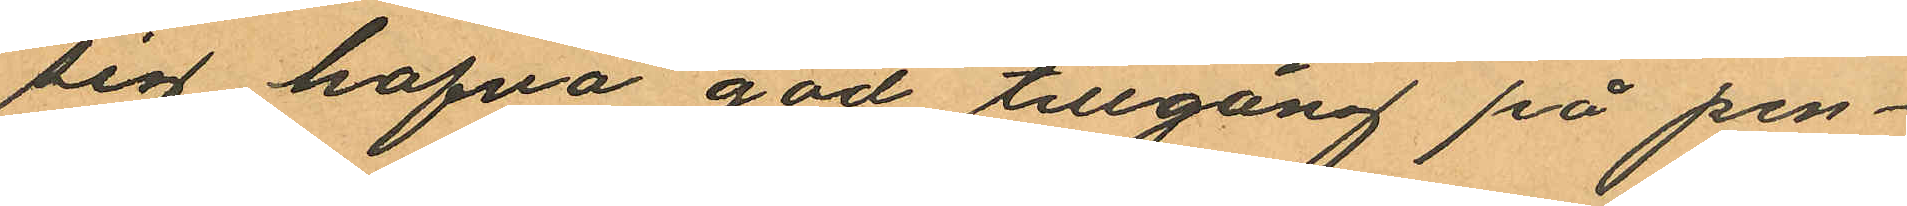sig hafva god tillgång på pen¬
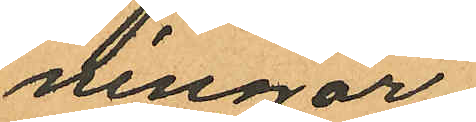ningar;
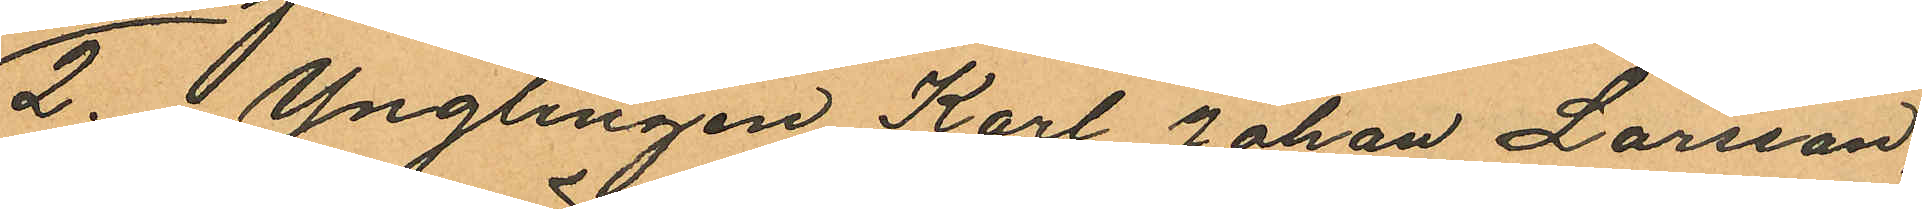2o Ynglingen Karl Johan Larsson,
